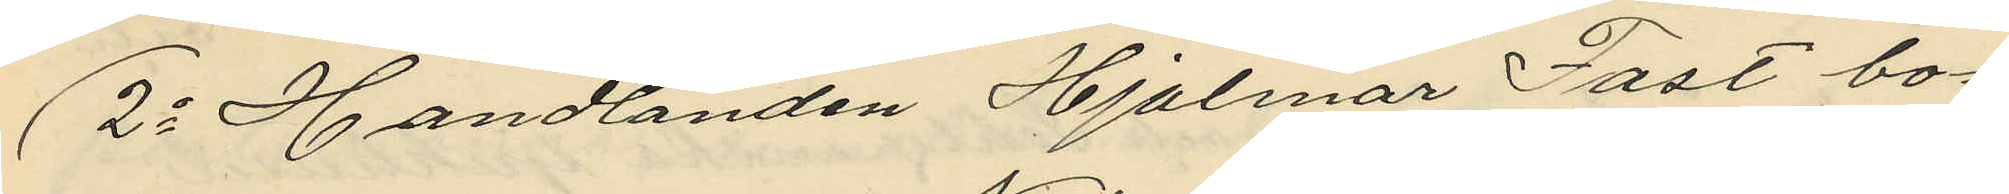2o Handlanden Hjalmar Fast bo¬
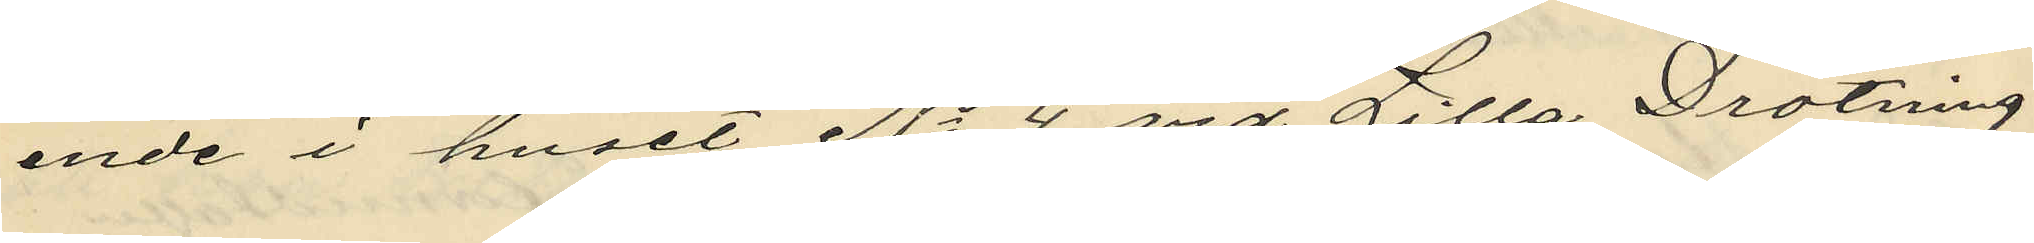ende i huset No 4 vid Lilla Drotning¬
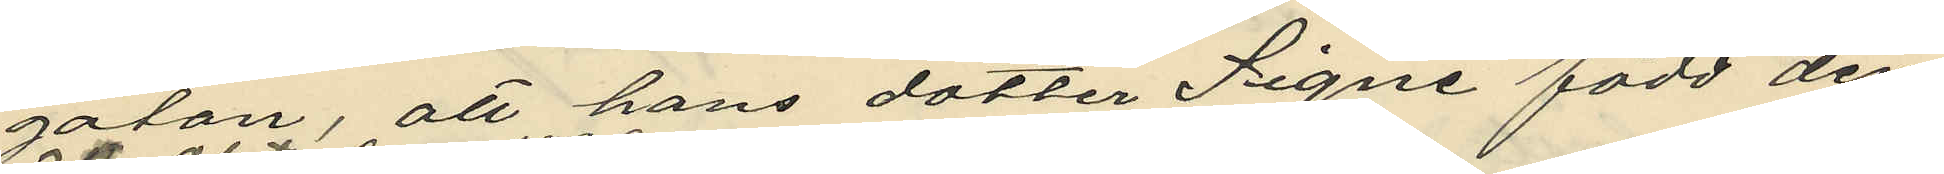gatan, att hans dotter Signe född den
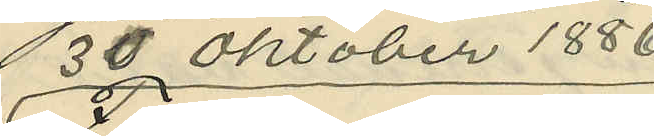13 Oktober 1886.
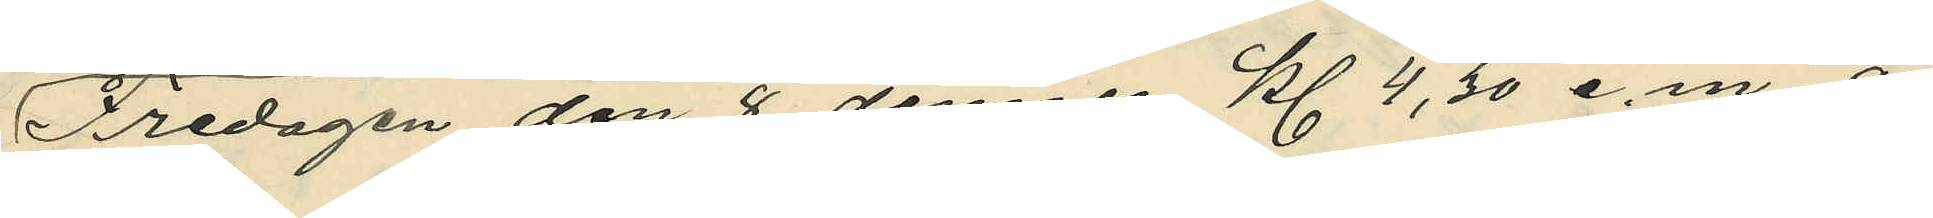Fredagen den 8 dennes Kl 4,30 e.m. å
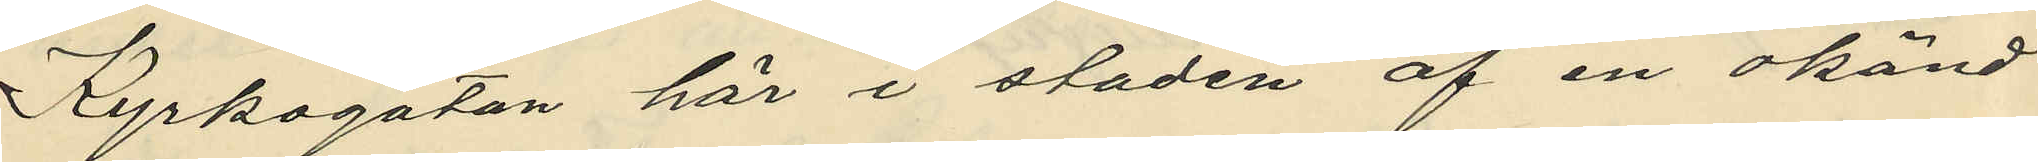Kyrkogatan här i staden af en okänd
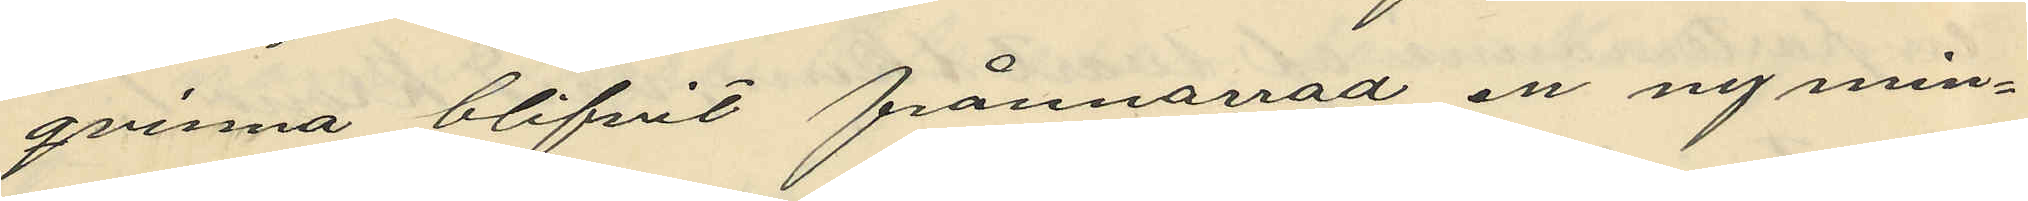qvinna blifvit frånnarrad en ny min¬
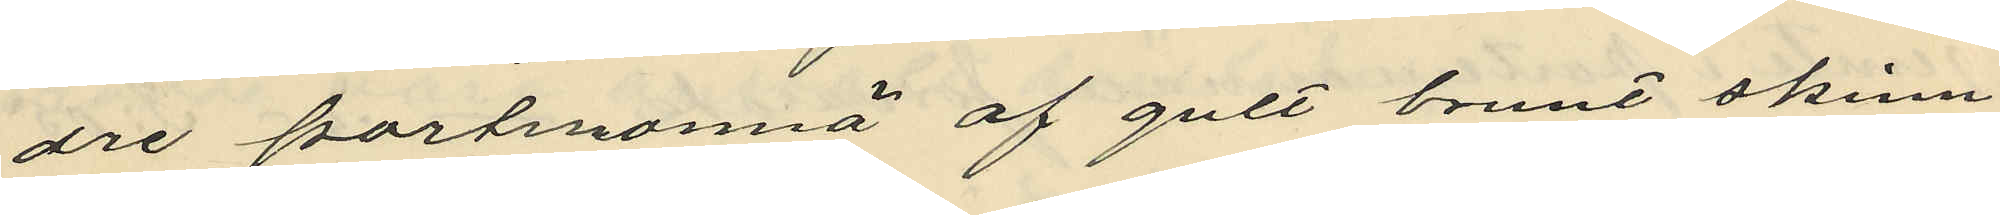dre portmonnä af gult brunt skinn
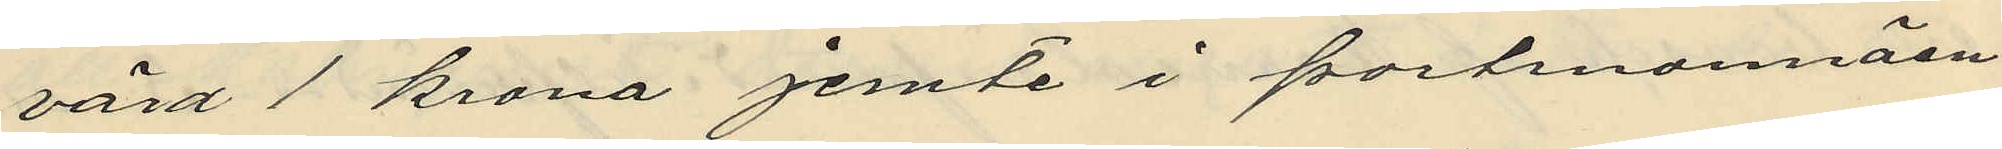värd 1 krona jemte i portmonnäen
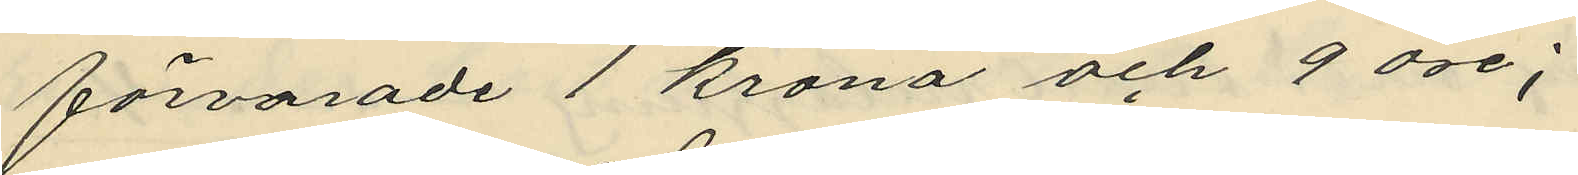förvarade 1 krona och 9 öre;
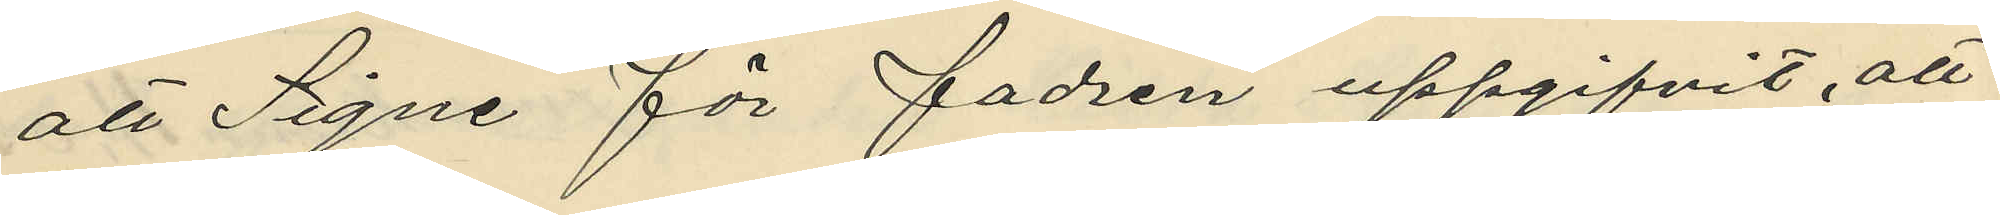att Signe för fadren uppgifvit, att
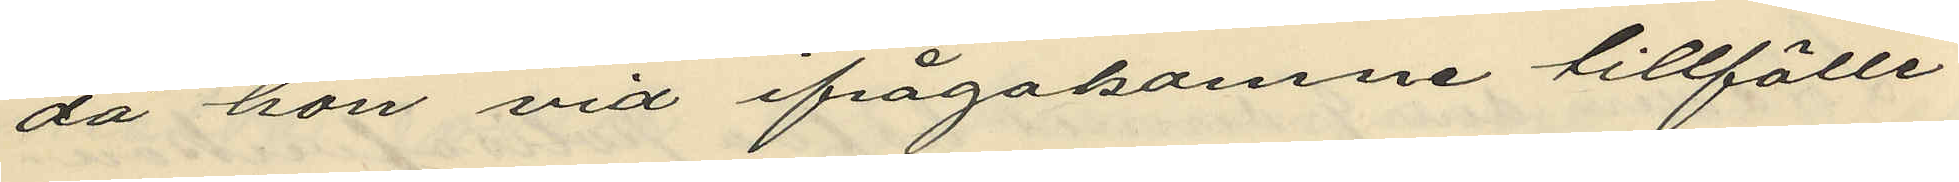da hon vid ifrågakomne tillfälle
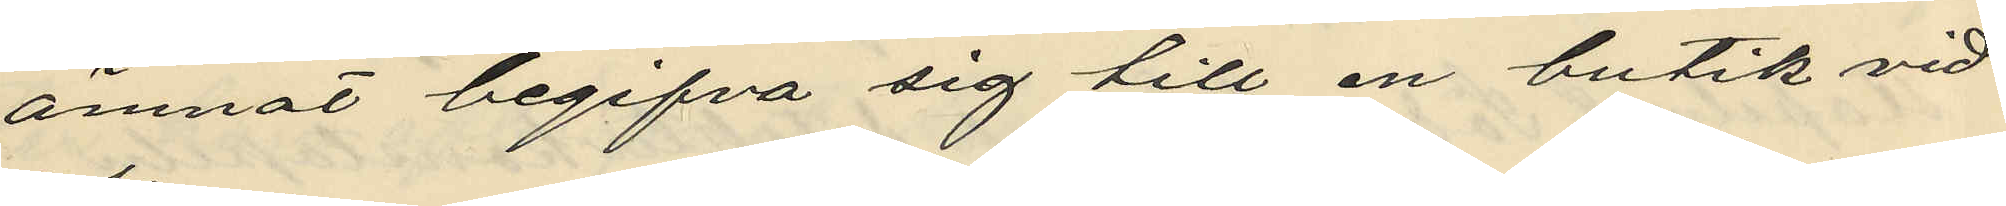ämnat begifva sig till en butik vid
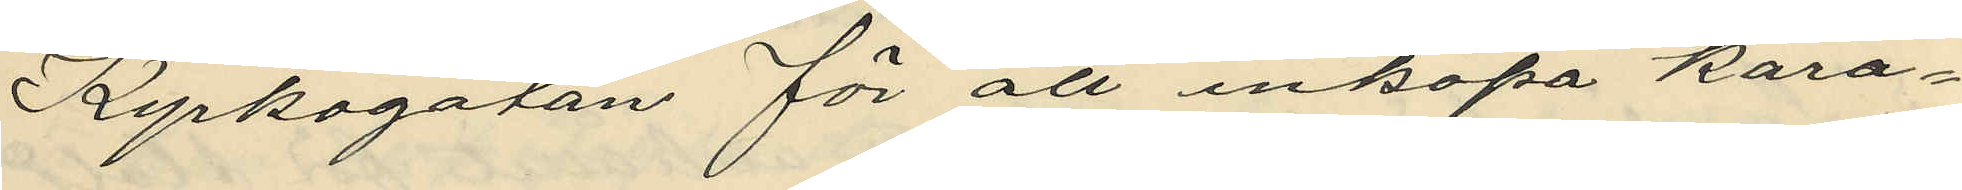Kyrkogatan för att inköpa kara¬
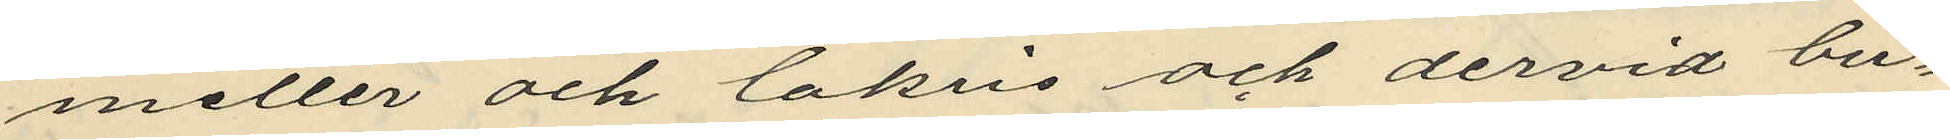meller och lakris och dervid bu¬
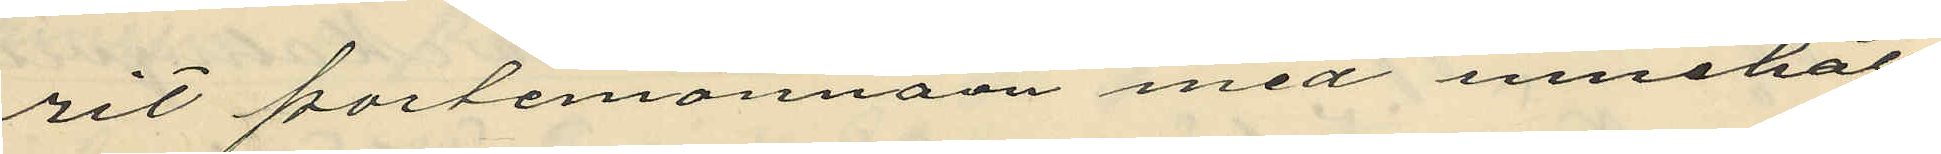rit portemonnäen med innehåll
